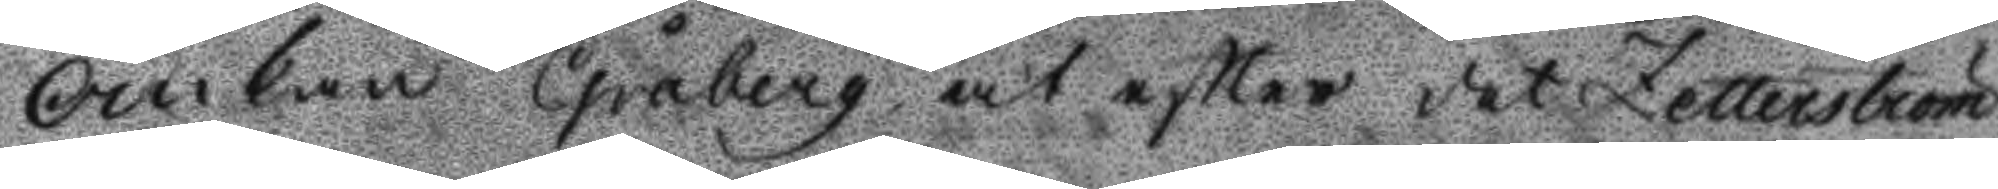Änckan Gråberg at efter det Zetterström
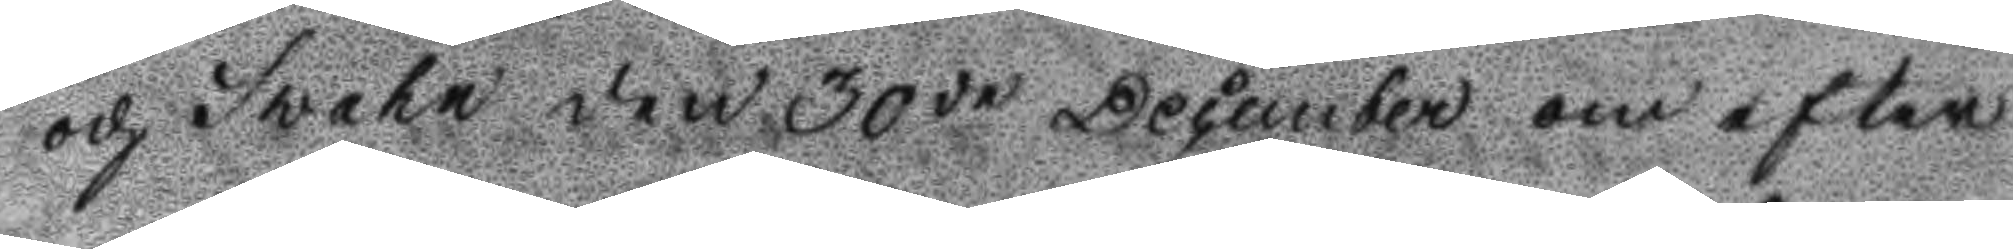och Svahn den 30de December om efter¬
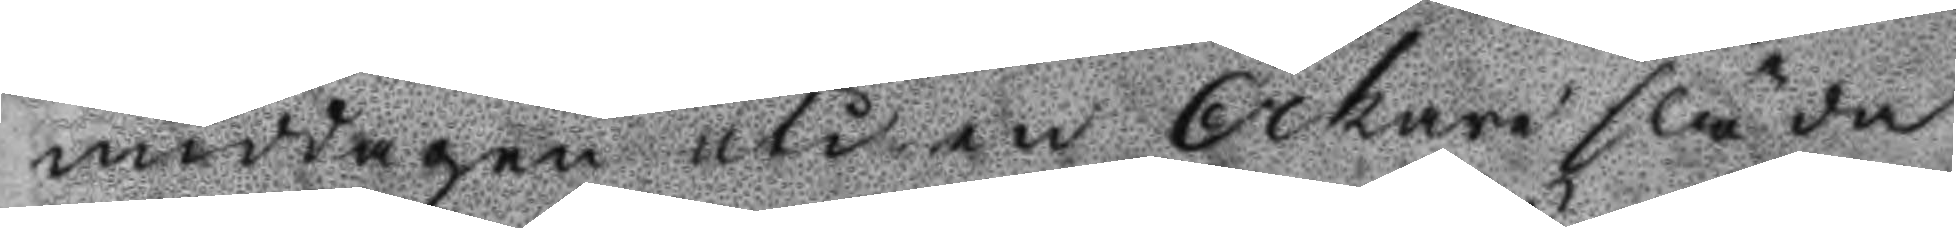middagen uti en Åkare släda
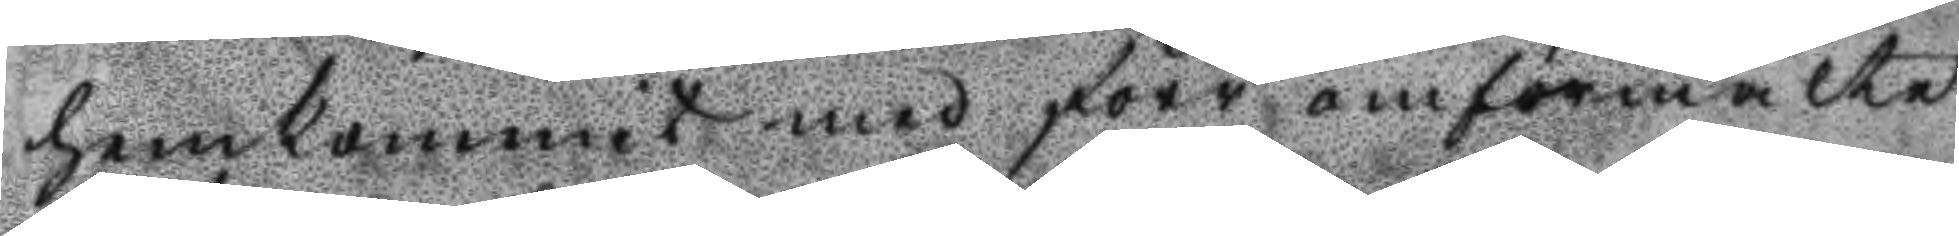hemkommit med förr omförmälte
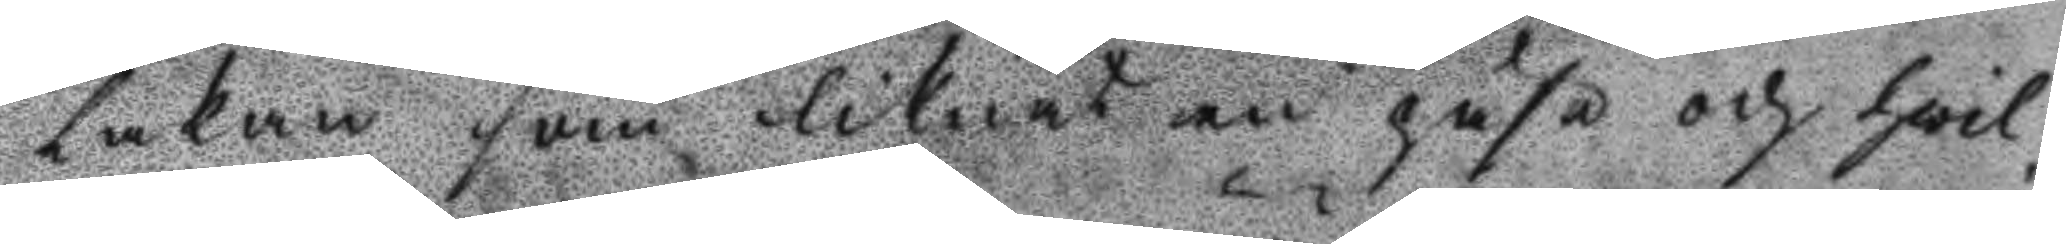Lakan som liknat en påse och hwil¬
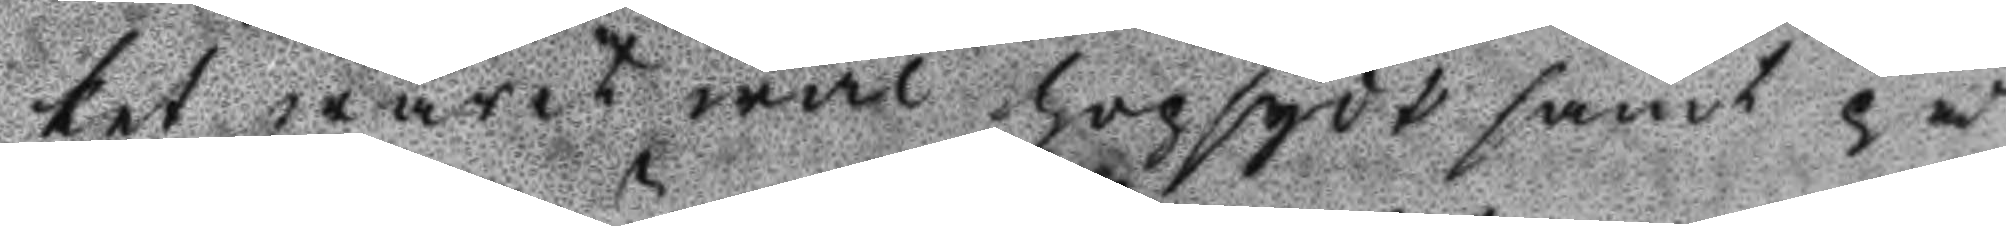ket warit wäl hopsydt samt på
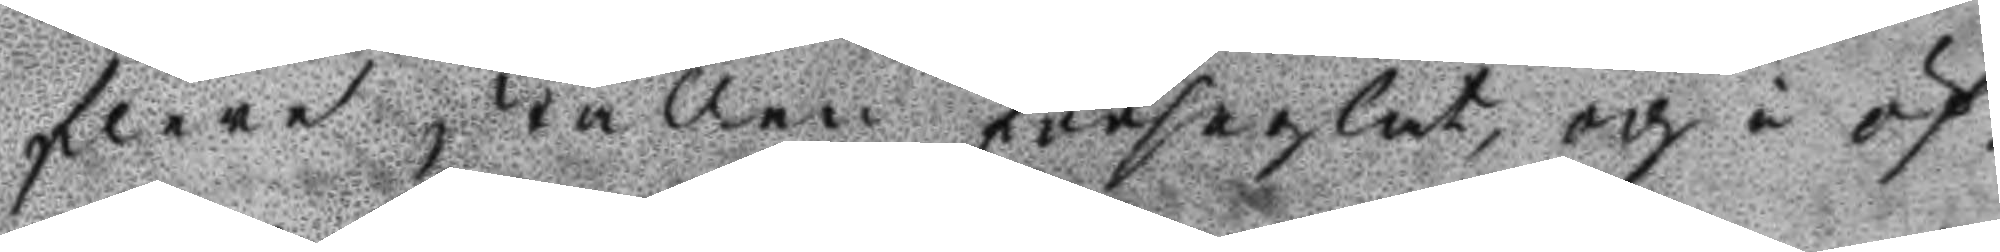flera ställen förseglat, och i öf¬
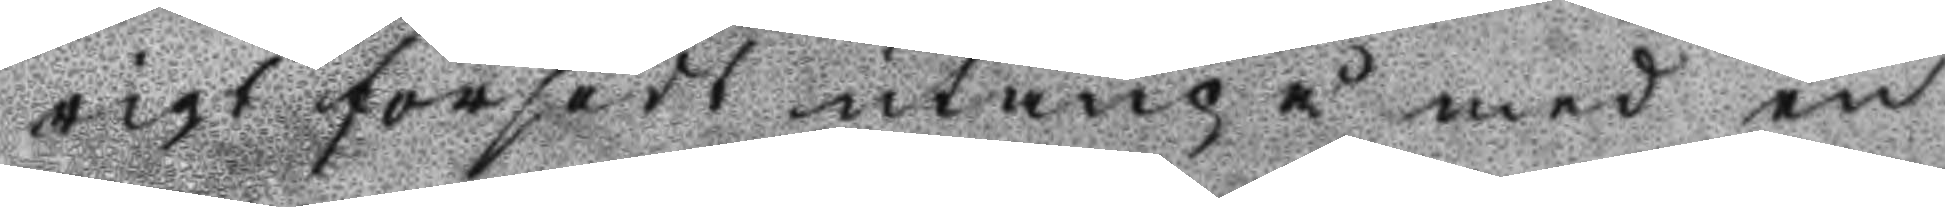rigt försedt utanpå med en
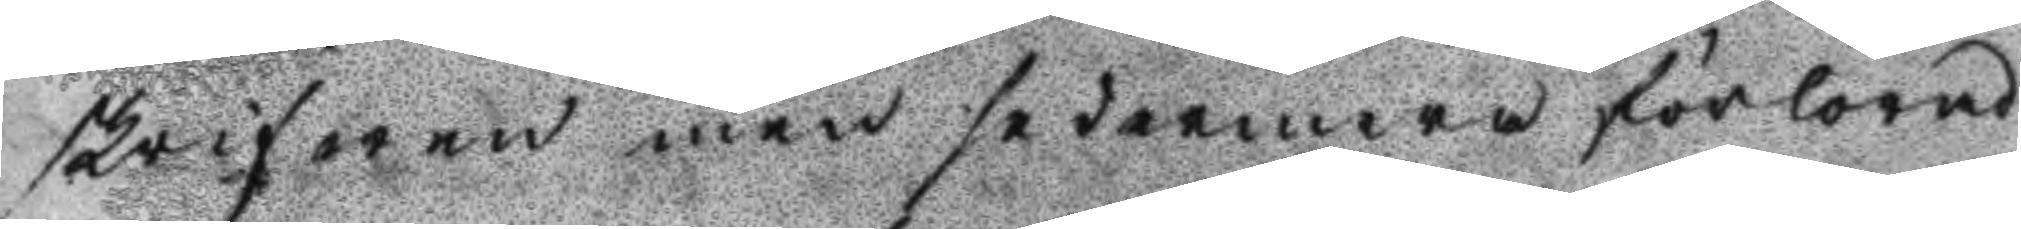skrifwen men sedermera förlorad
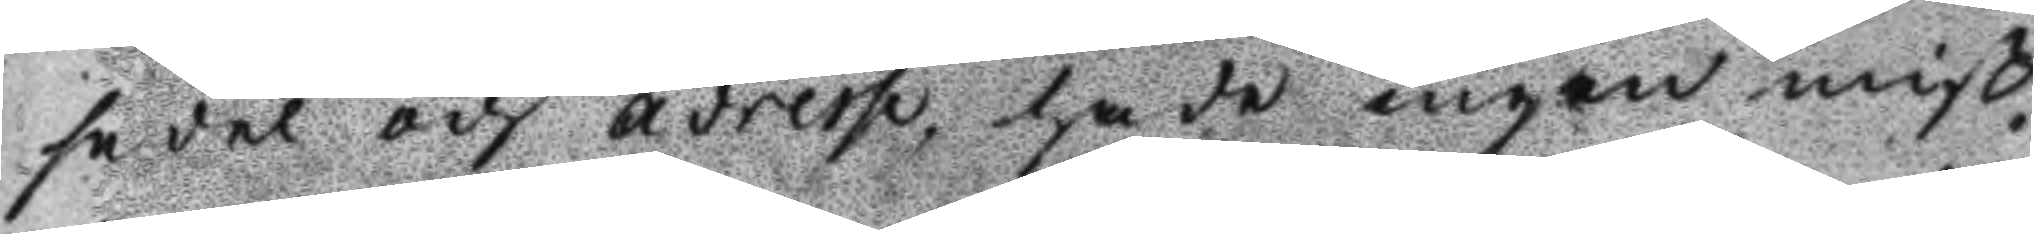sedel och adress, hade ingen miß¬
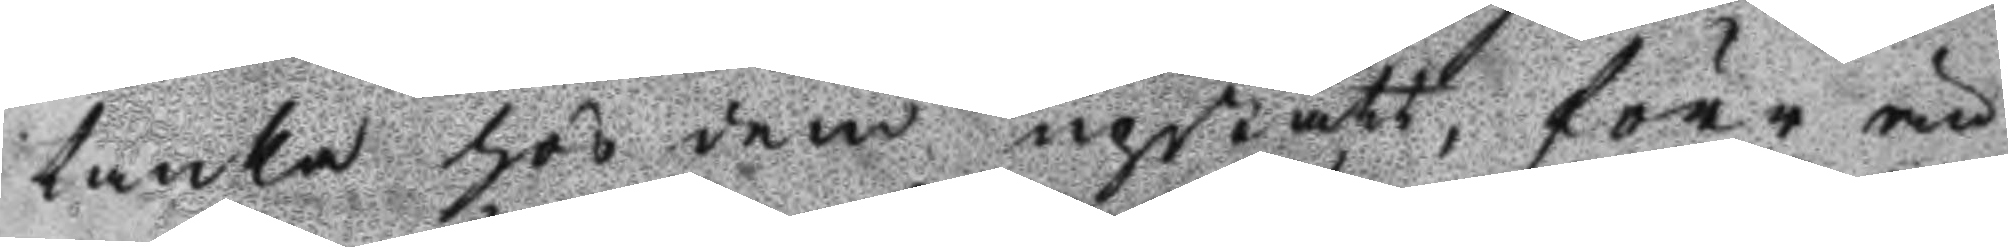tanka hos dem upstått, förr än
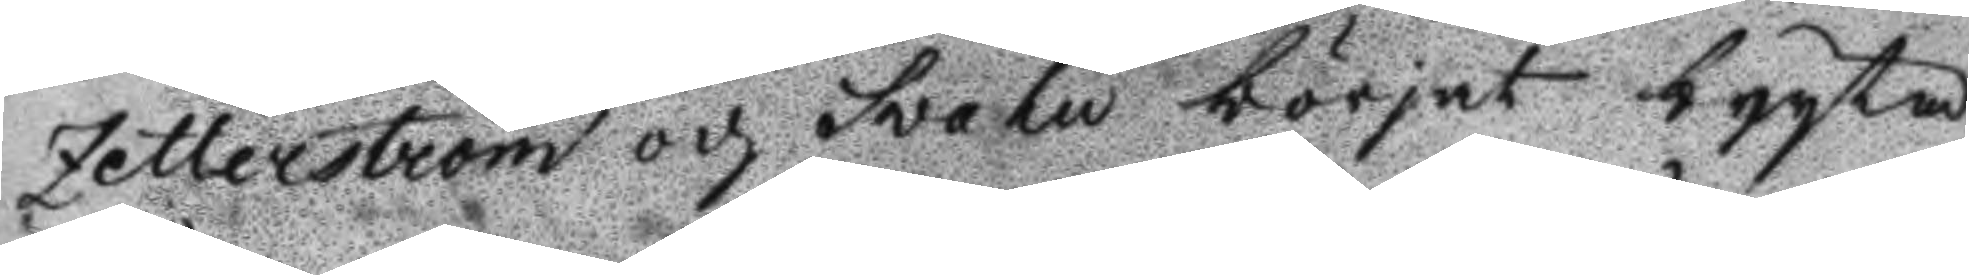Zetterström och Svahn börjat bryta
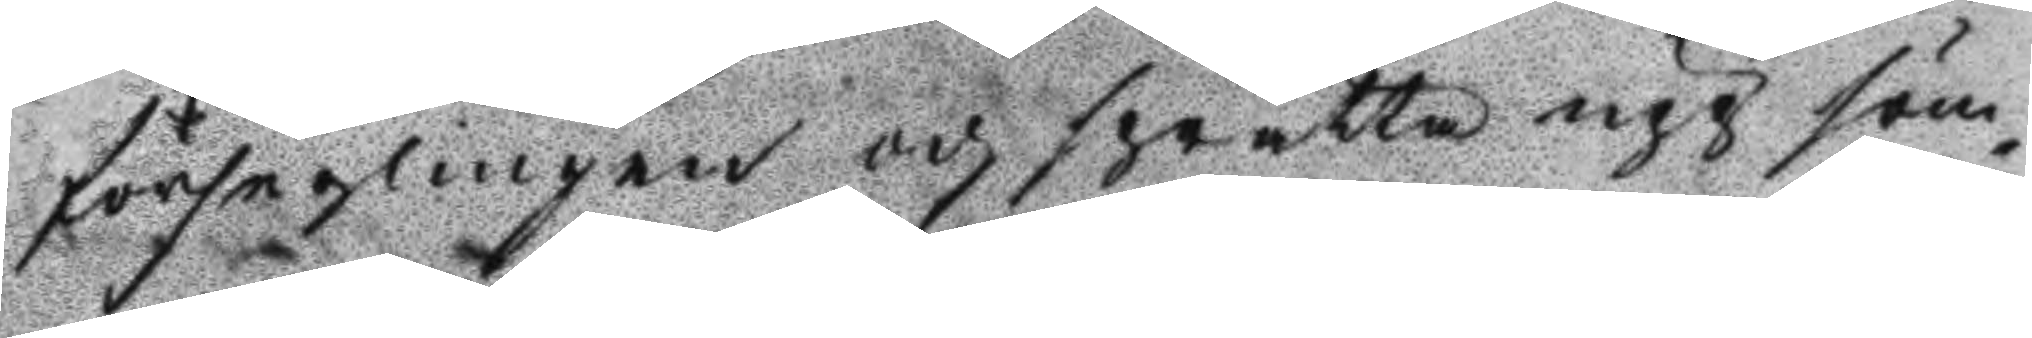förseglingen och sprätta upp söm¬
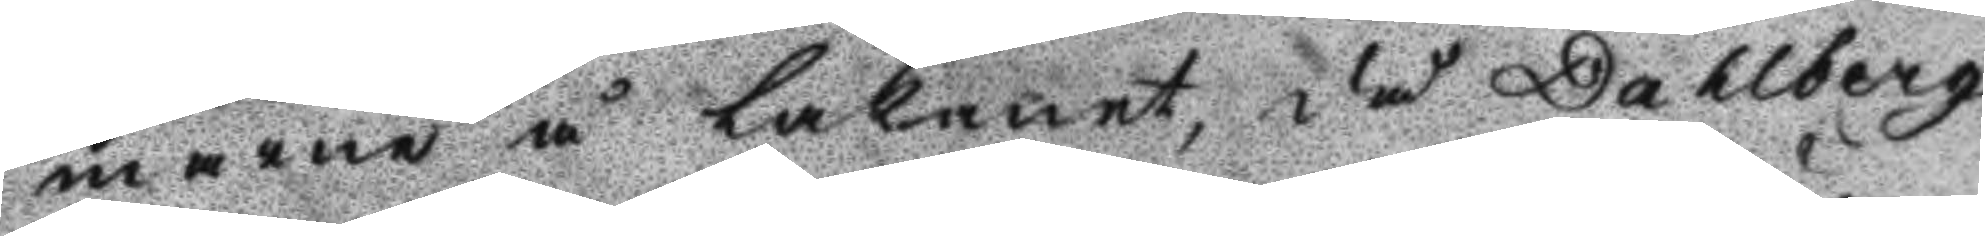marne å Lakanet, då Dahlberg
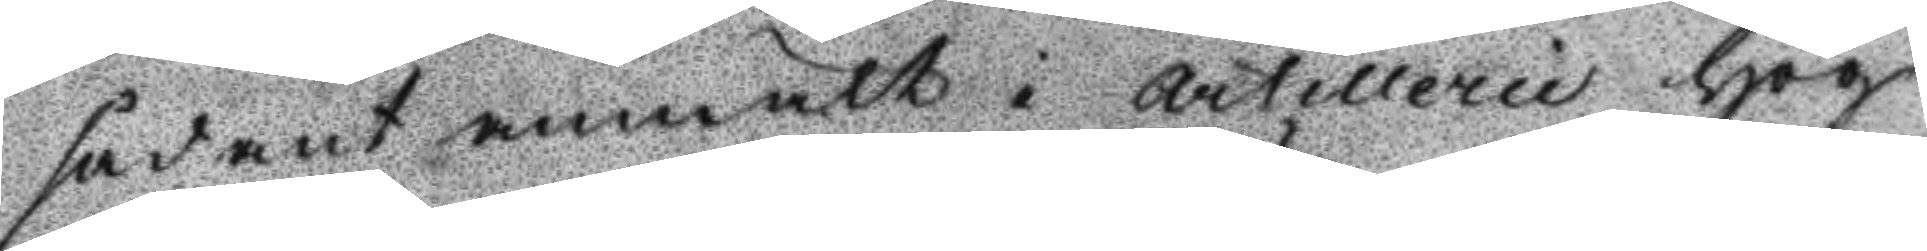sådant anmält i Artillerie hög¬
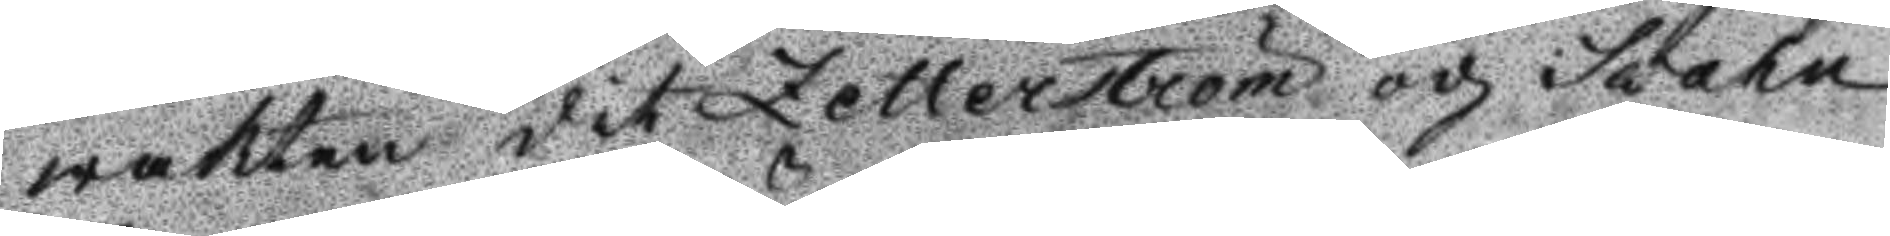wakten dit Zetterström och Svahn
